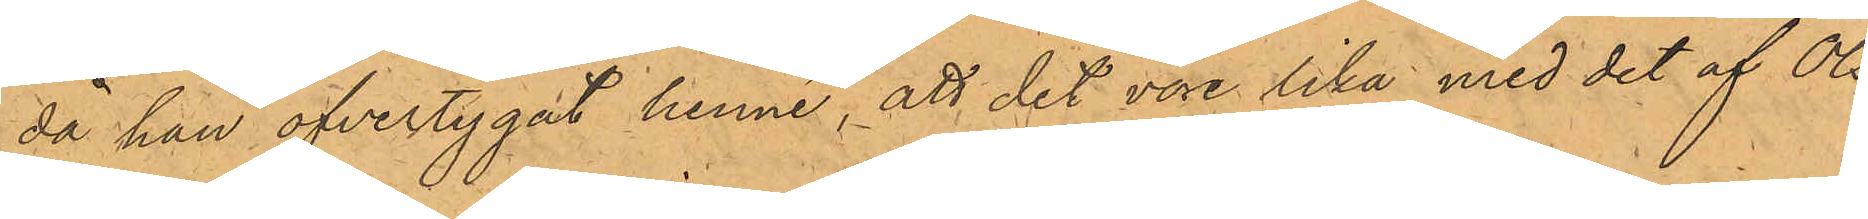då han öfvertygat henne, att det vore lika med det af Ols¬
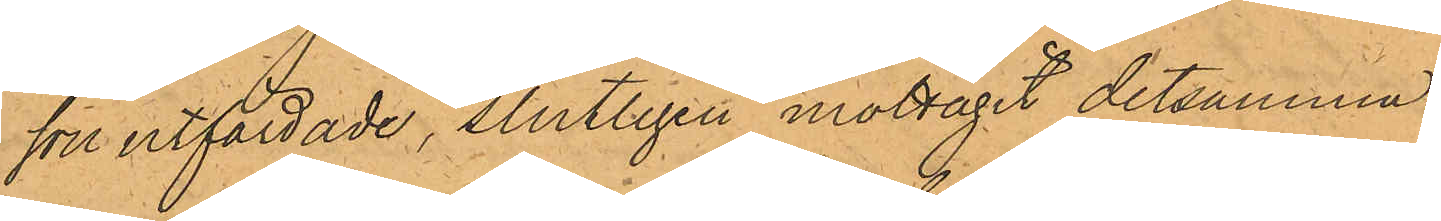son utfärdade, slutligen mottagit detsamma.
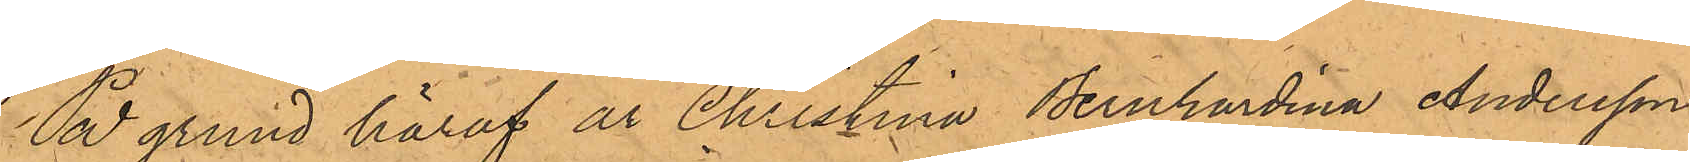På grund häraf är Christina Bernhardina Andersson
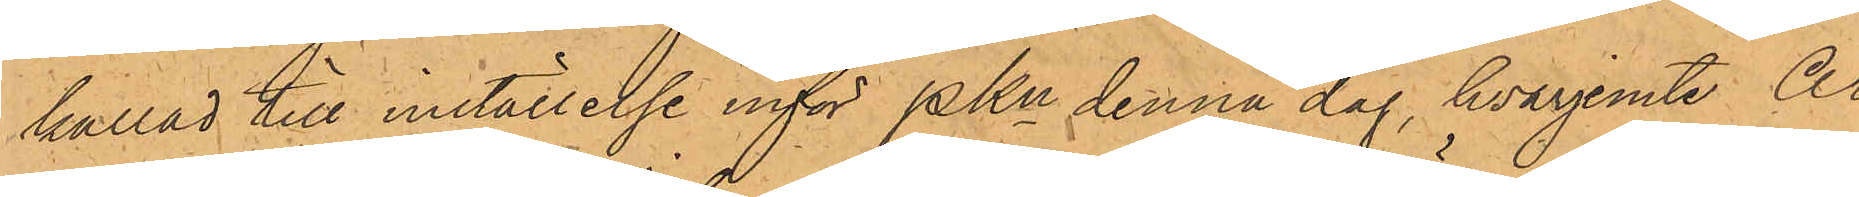kallad till inställelse inför Pkn denna dag, hvarjemte Ar¬
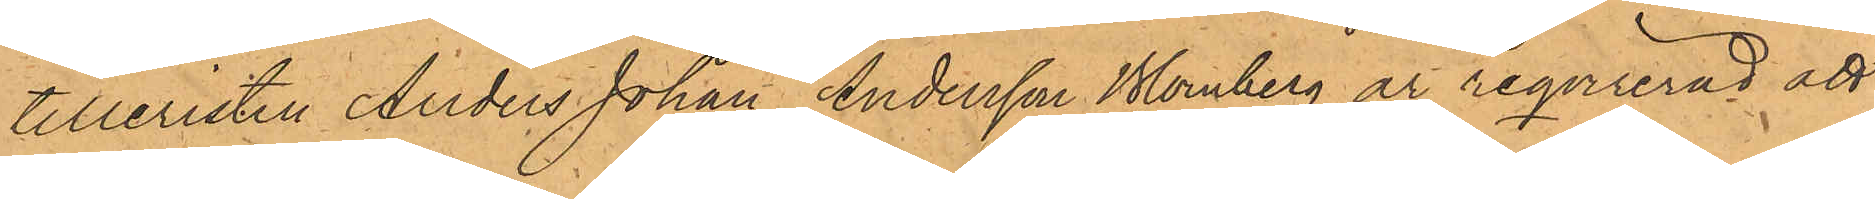tilleristen Anders Johan Andersson Blomberg är reqvirerad att
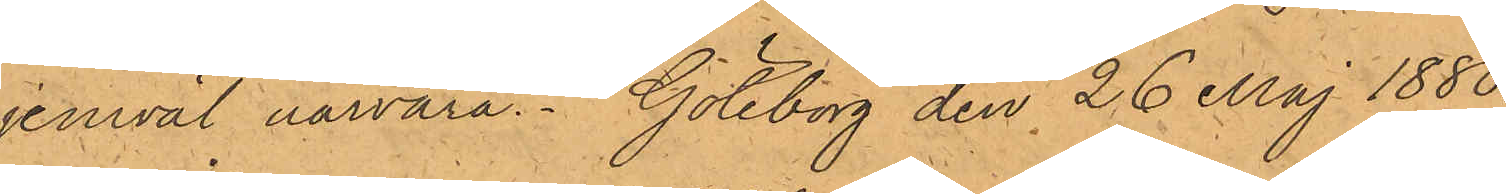jemväl närvara. Göteborg den 26 Maj 1880.
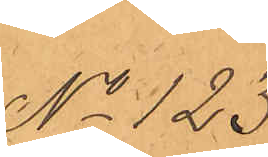No 123.
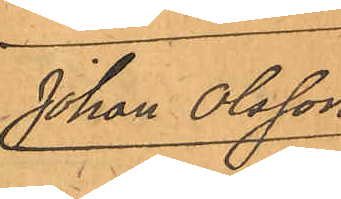Johan Olsson.
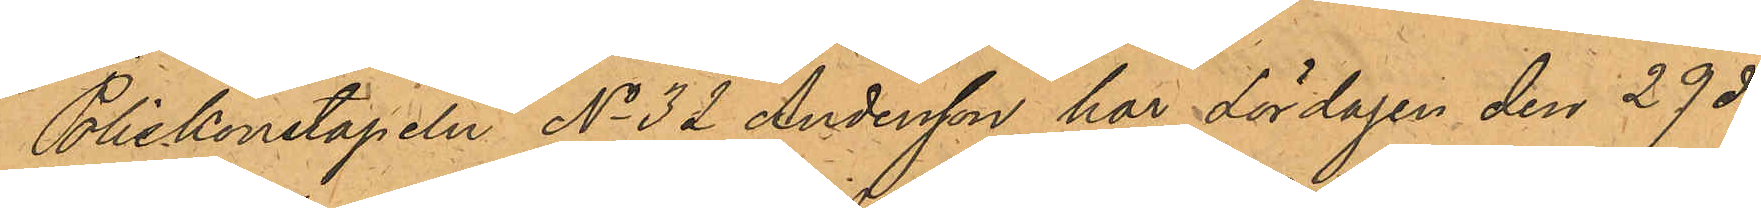Poliskonstapeln No 32 Andersson har Lördagen den 29 ds
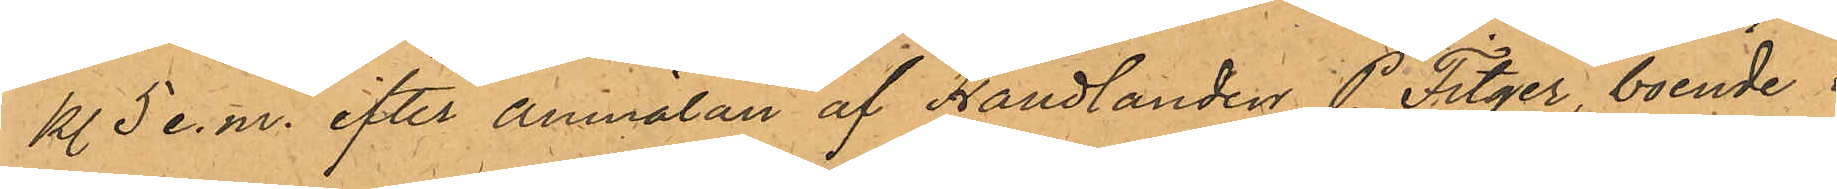kl 5 e.m. efter anmälan af Handlanden P. Fitger, boende i
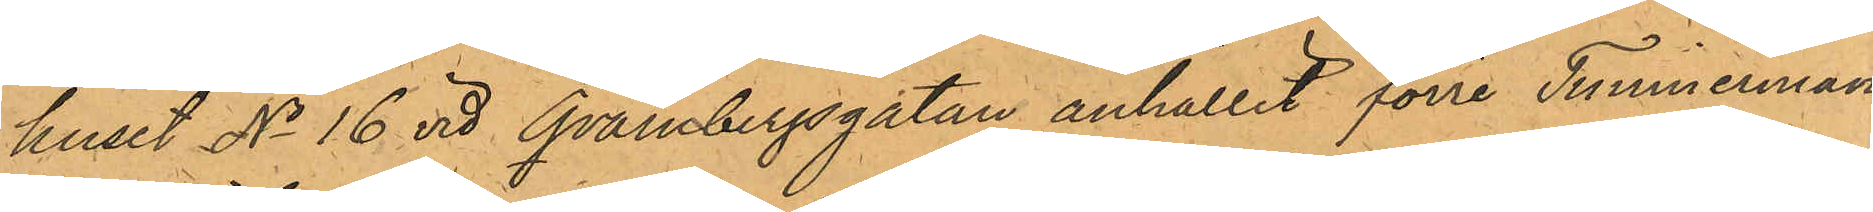huset No 16 vid Qvarnbergsgatan, anhållit förre Timmerman¬
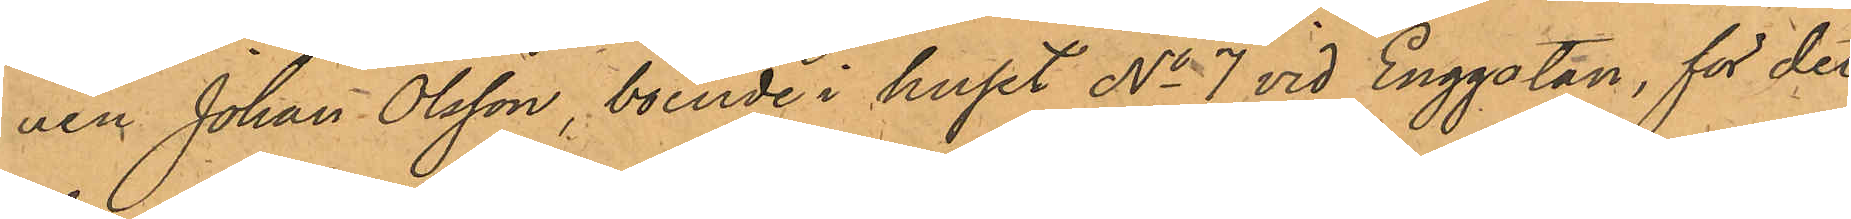nen Johan Olsson, boende i huset No 7 vid Enggatan, för det
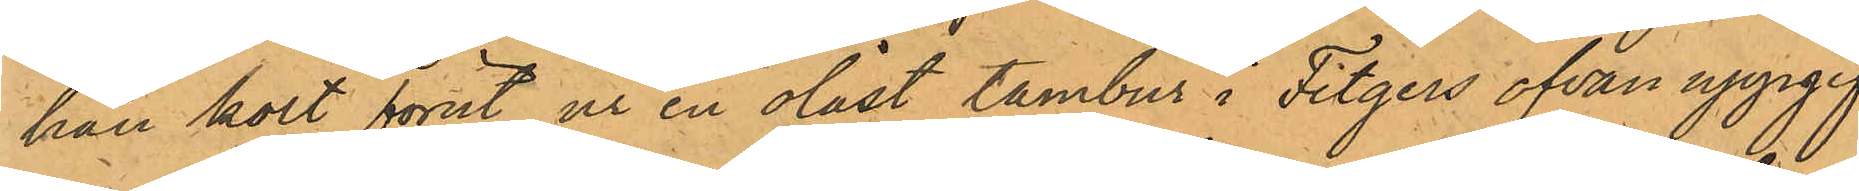han kort förut ur en olåst tambur i Fitgers ofvan uppgif¬
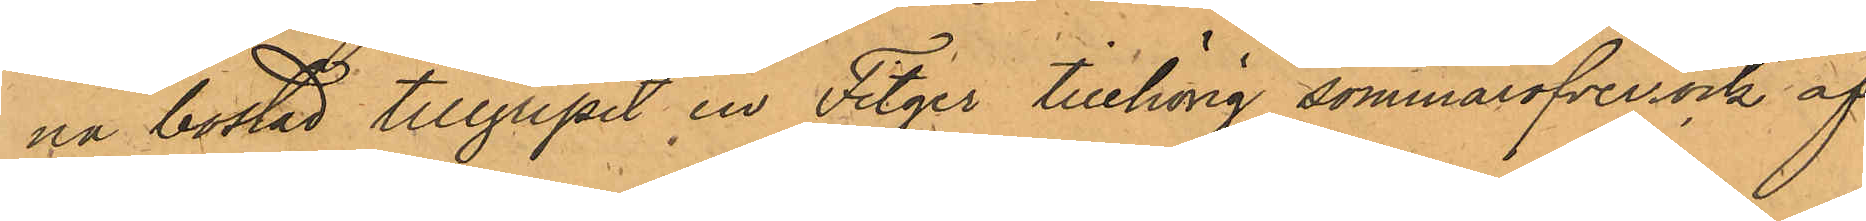na bostad tillgripit en Fitger tillhörig sommaröfverrock af
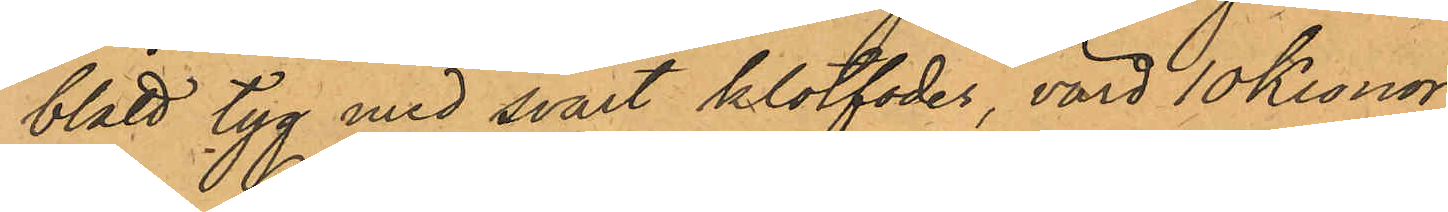blått tyg med svart klotfoder, värd 10 Kronor.
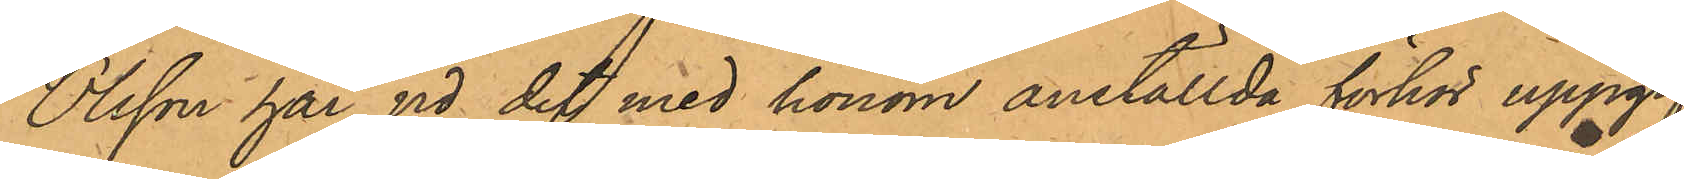Olsson har vid det med honom anställda förhör uppgif¬
